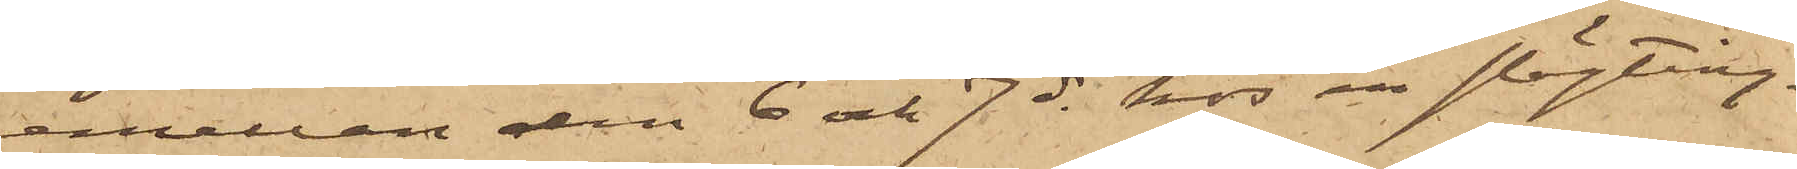emellan den 6 och 7 ds hos en slägting.
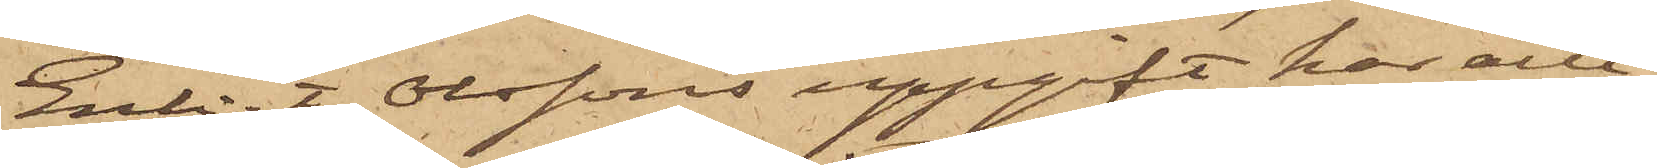Enligt Olssons uppgift, har allt
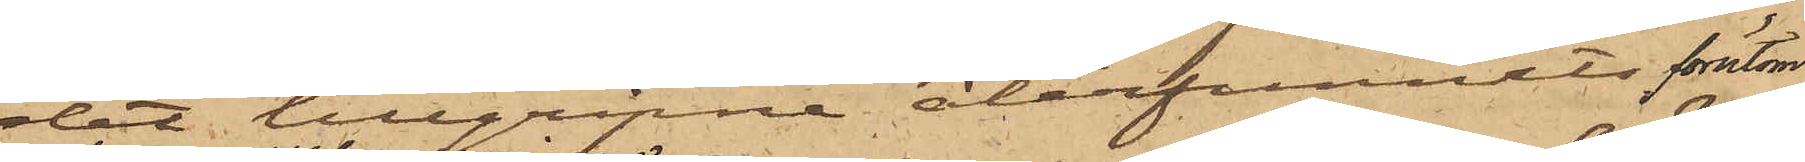det tillgripne återfunnits förutom
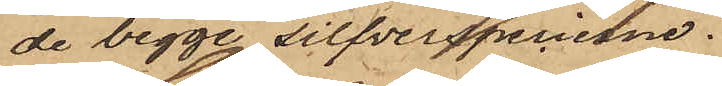de begge silfverspecierne.
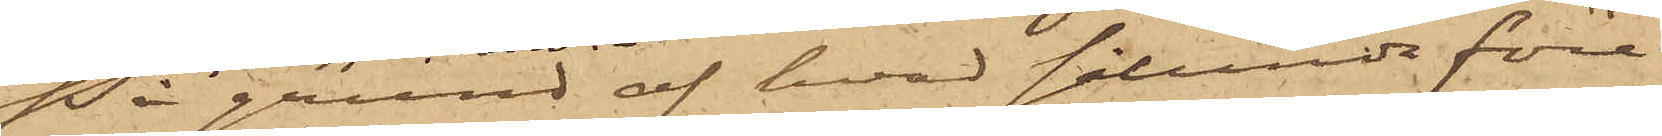På grund af hvad sålunda före¬
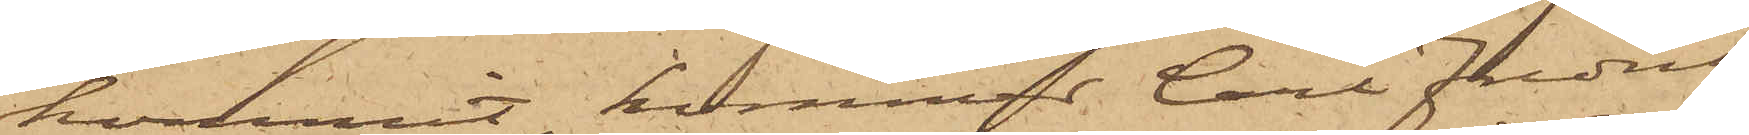kommit, kommer Carl Fredrik
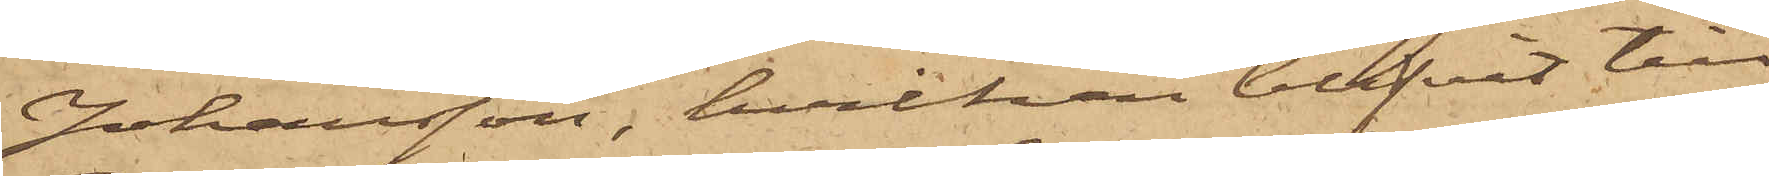Johansson, hvilken blifvit till
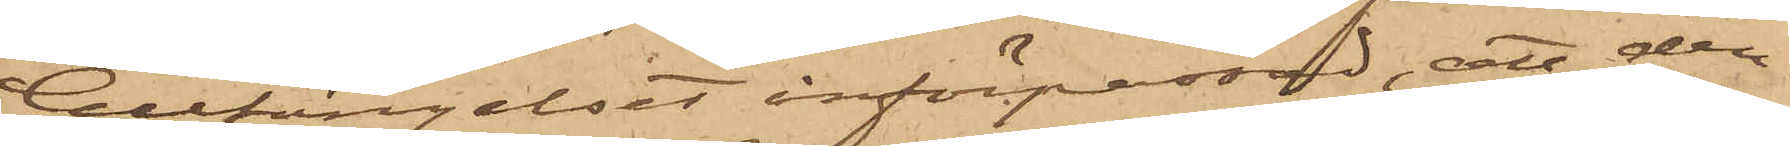Cellfängelset införpassad, att den¬
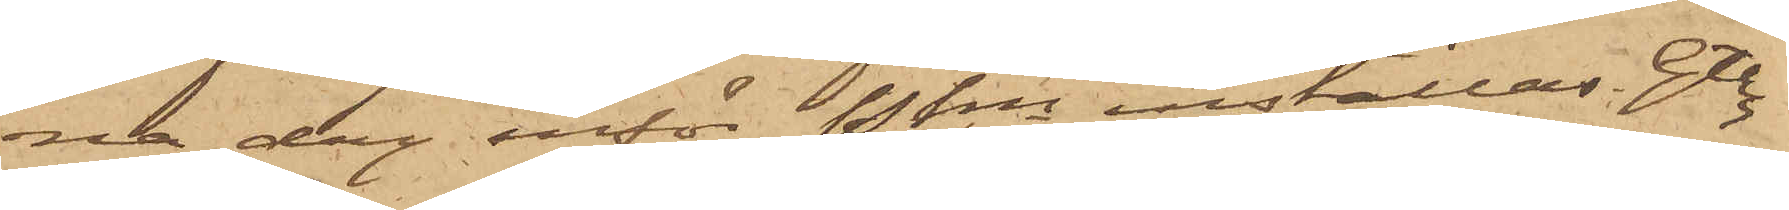na dag inför Pkn inställas. Gtbg
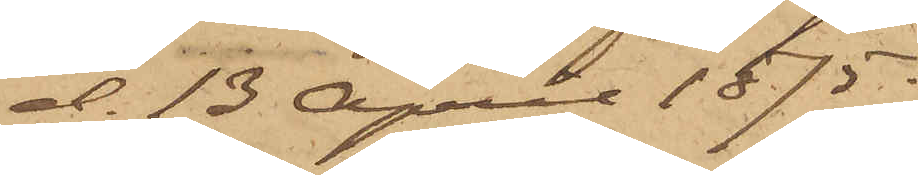d. 13 April 1875.
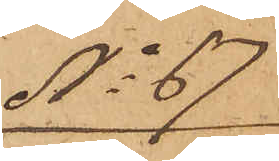No 67
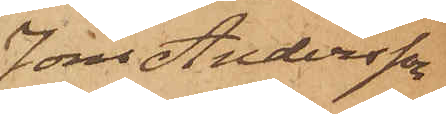Jöns Andersson
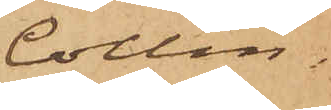Collin.
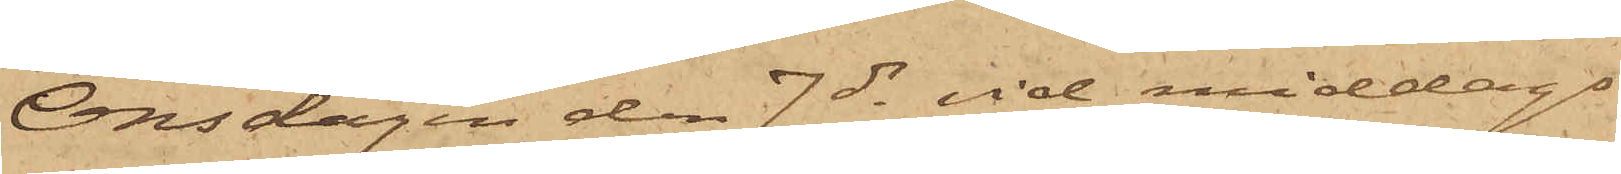Onsdagen den 7 ds vid middags¬
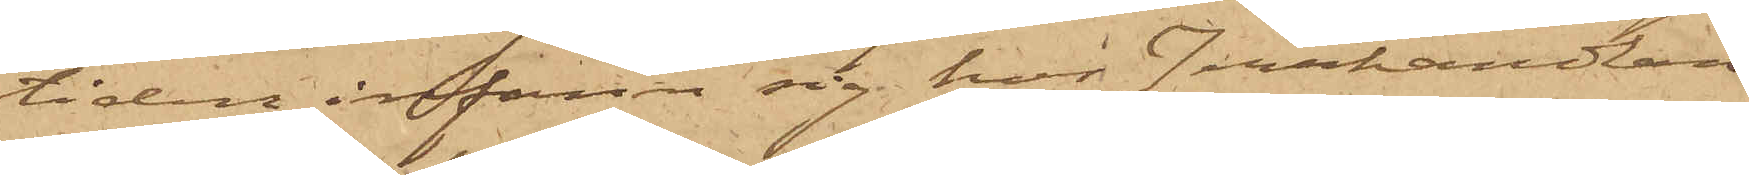tiden infann sig hos Jernhandlan¬
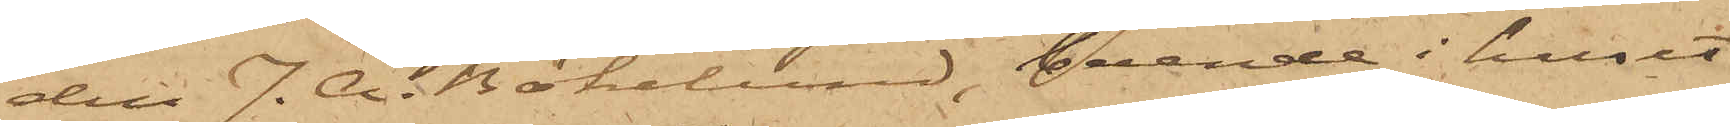den J. A. Bökelund, boende i huset
